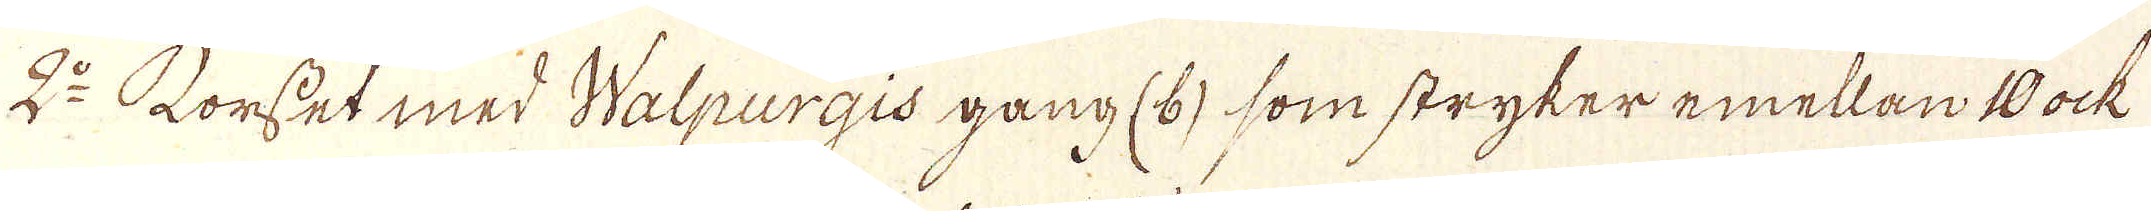2:o Forsset med Walpurgis gång (6) som stryker emellan 10 ock
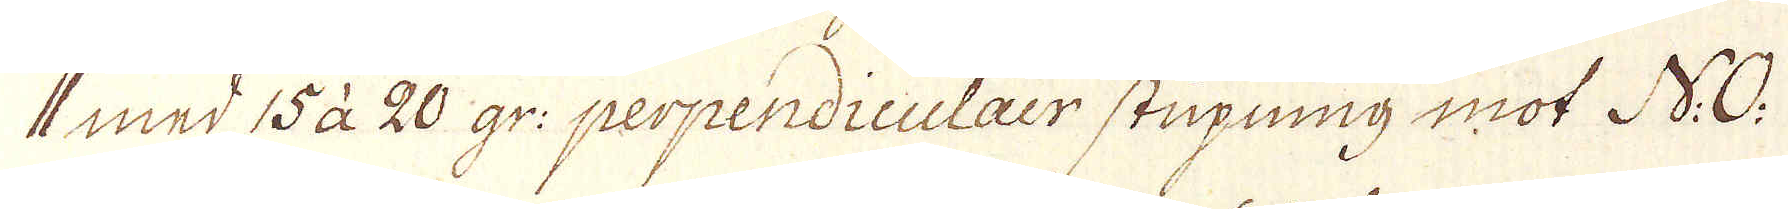11 med 15 à 20 gr: perpendiculair stupning mot N.O.
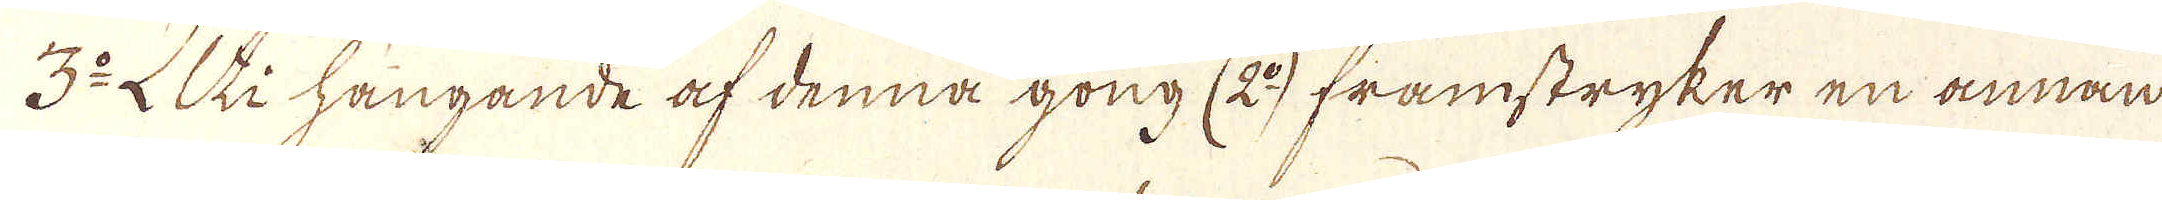3:o Uti hängande af denna gong (2:o) framstryker en annan
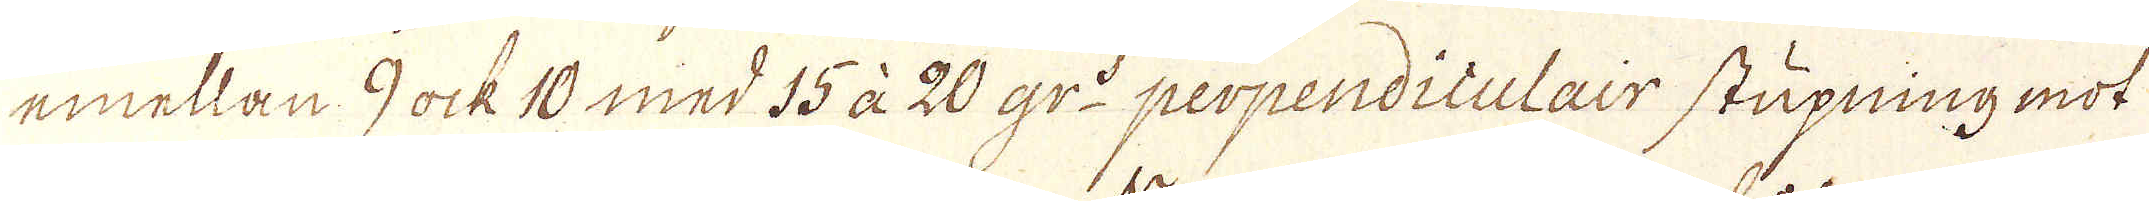emellan 9 ock 10 med 55 à 20 gr:d perpendiculair stupning mot
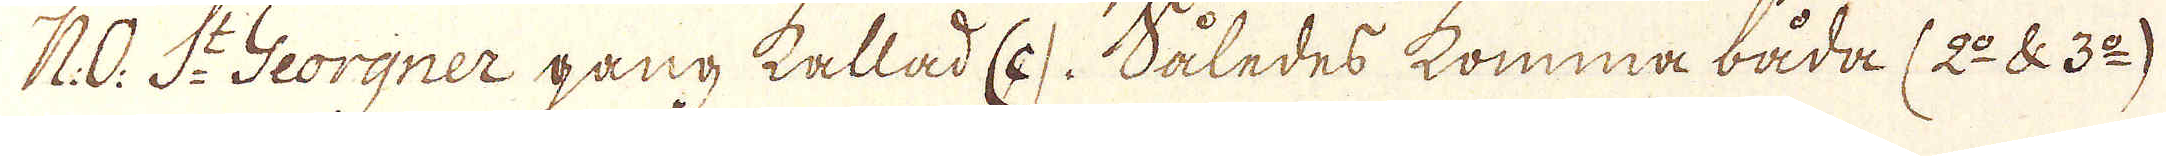N:O: S:t Georgner gång kallad (c). Således komma båda (2:o & 3:o)
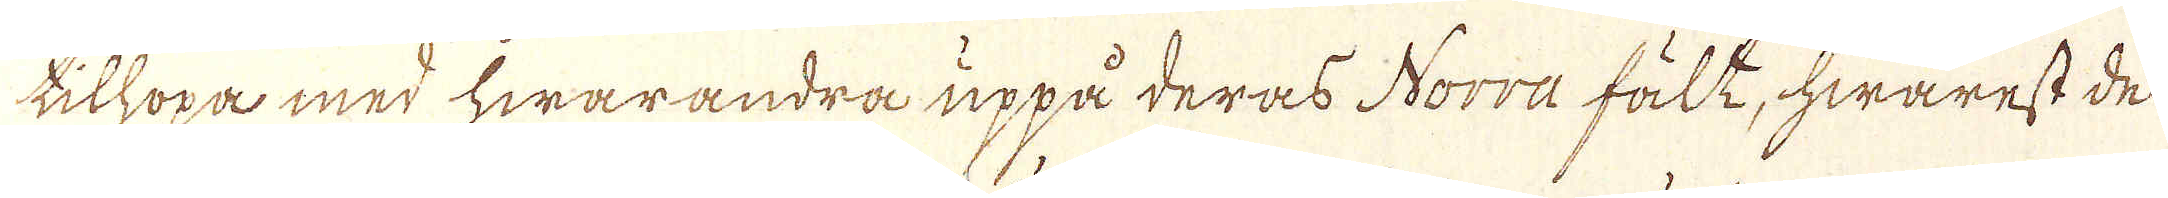tilhopa med hwarandra uppå deras Norra fält, hwarest de
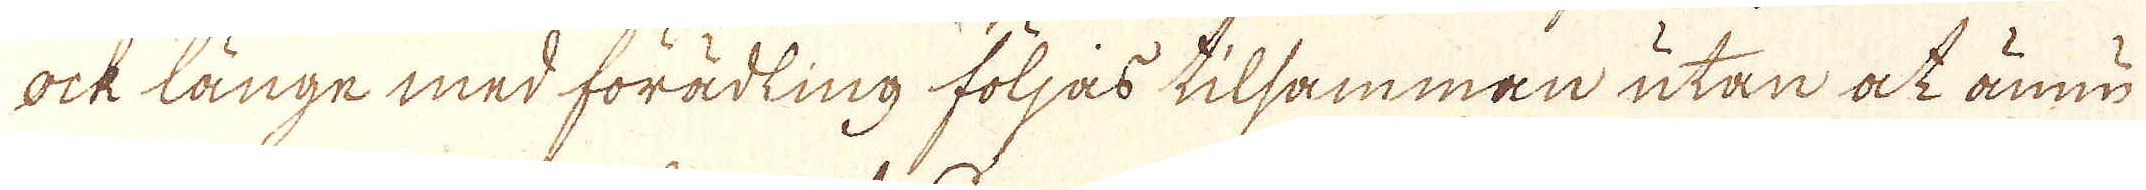ock länge med förädling följas tilsamman utan at ännu
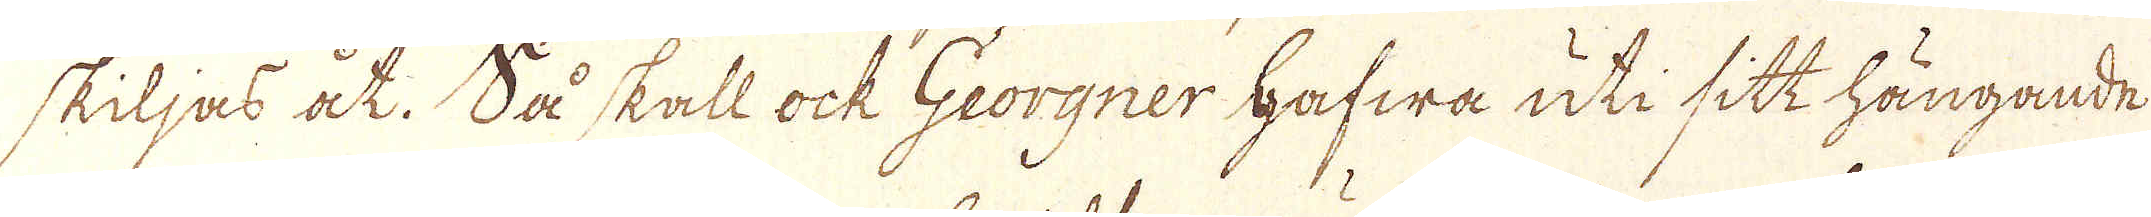skiljas at. Så skall ock Georgner hafwa uti sitt hängande
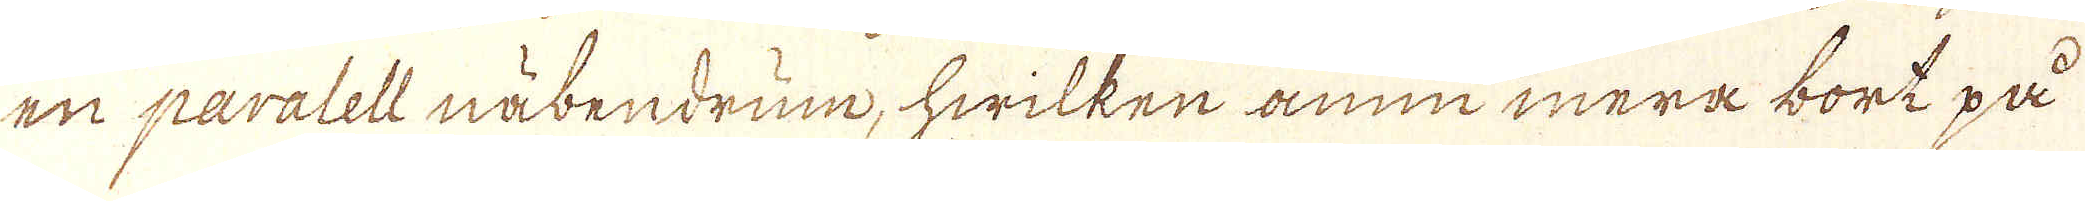en paralell näbendrum, hwilken ännu mera bort på
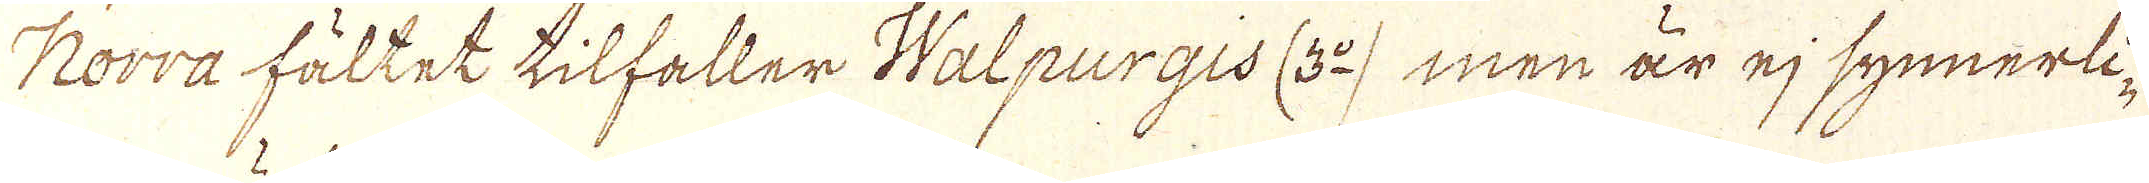Norra fältet tilfaller Walpurgis (3:o) men är ej synnerli-
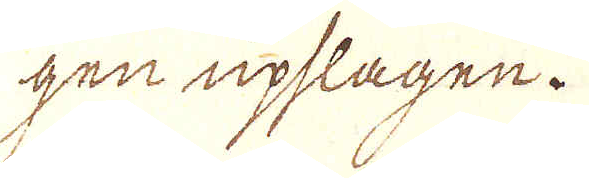gen upslagen.
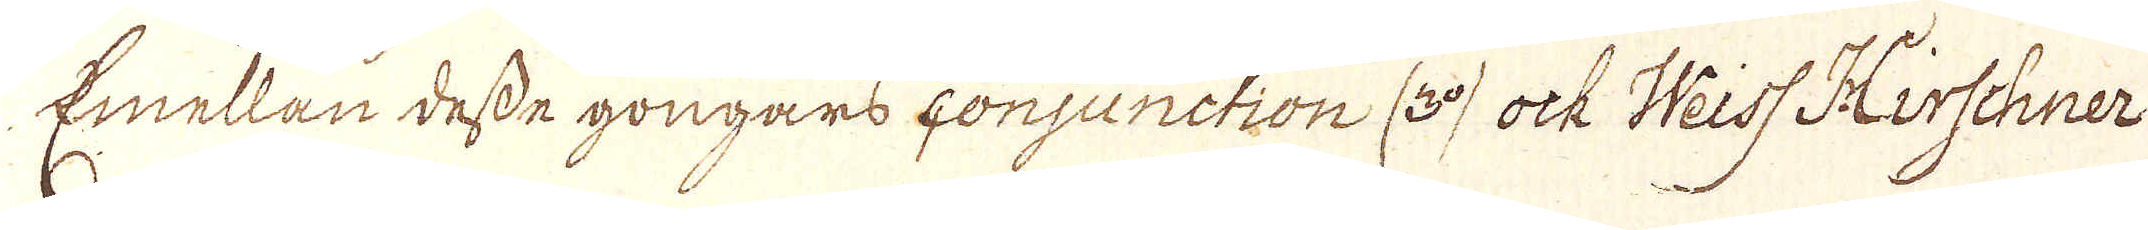Emellan desse gongars conjunction (3:o) ock Weiss Hirschner
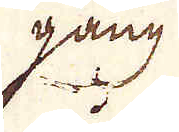gang
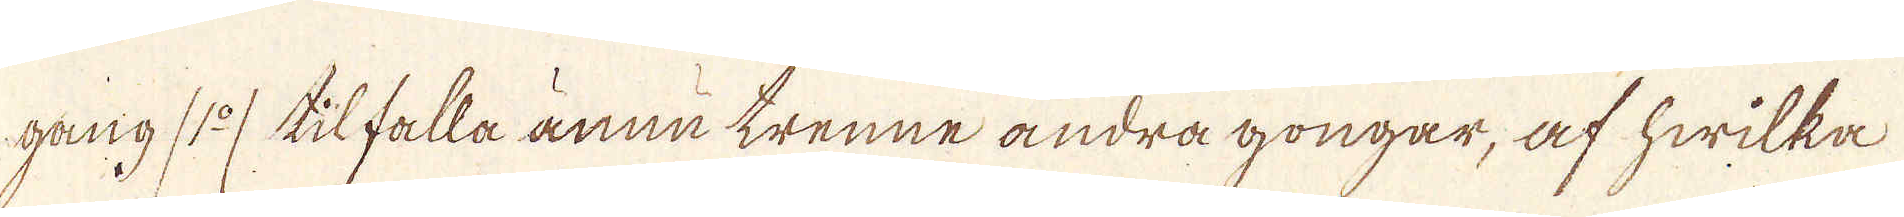gang (1:o) tilfalla ännu trenne andra gongar, af hwilka
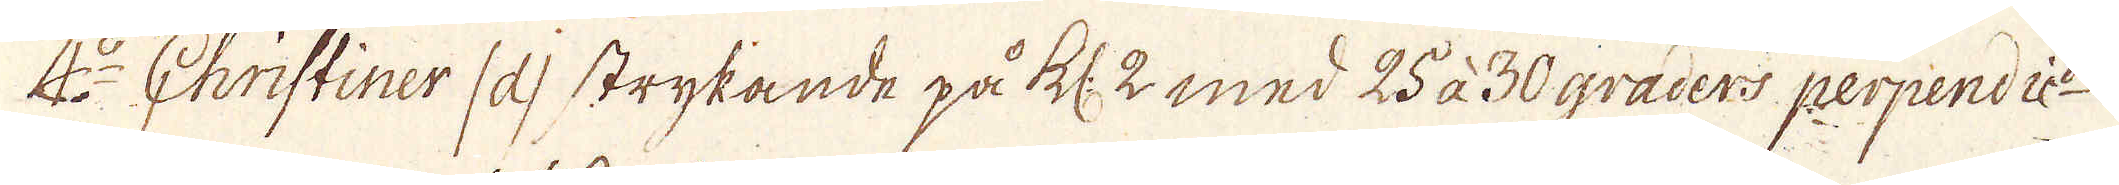4:o Christiner (d) strykande på kl: 2 med 25 à 30 graders perpendic:r
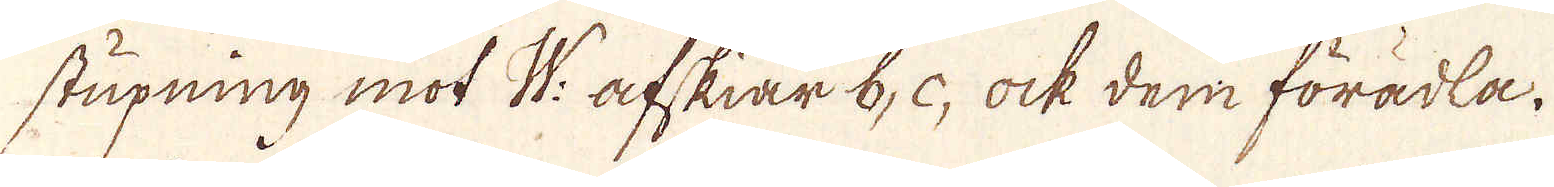stupning mot W: afskiär b, c, ock dem förädla,
